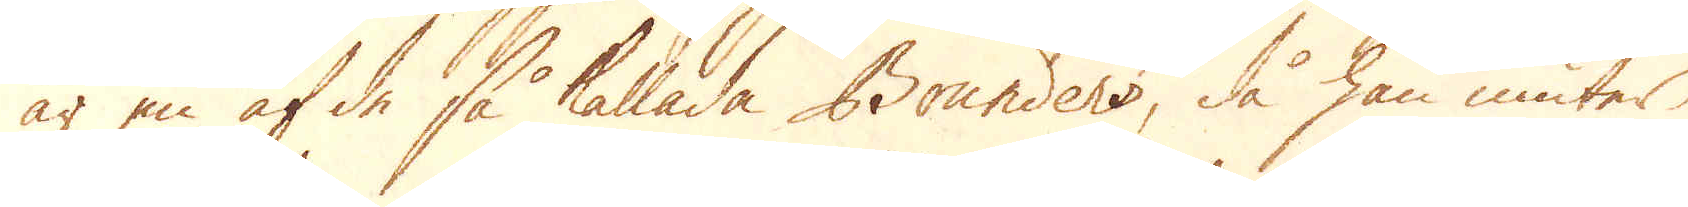är en af de så kallade Bounders, då han niuter
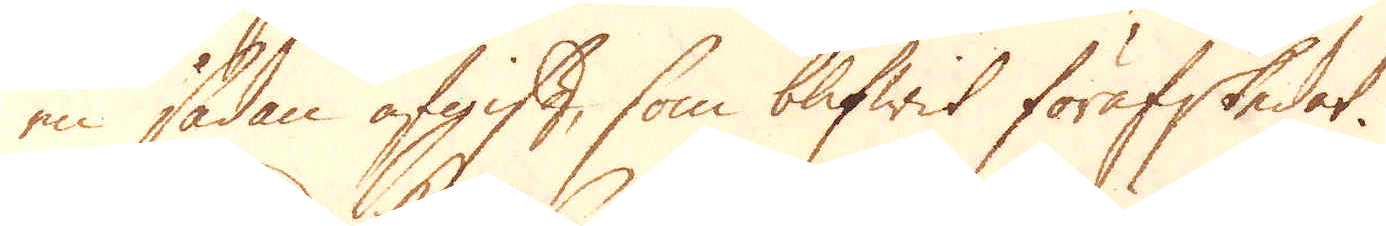en sådan afgift, som blifwit förrafskedat.
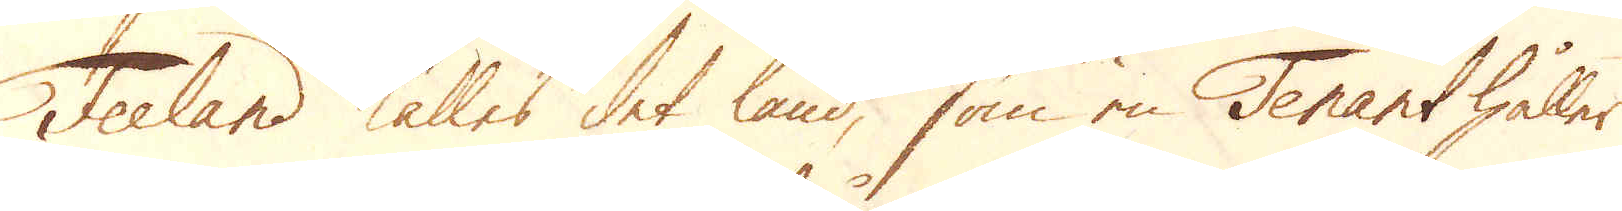Feeland kalles det land, som en Tenant håller
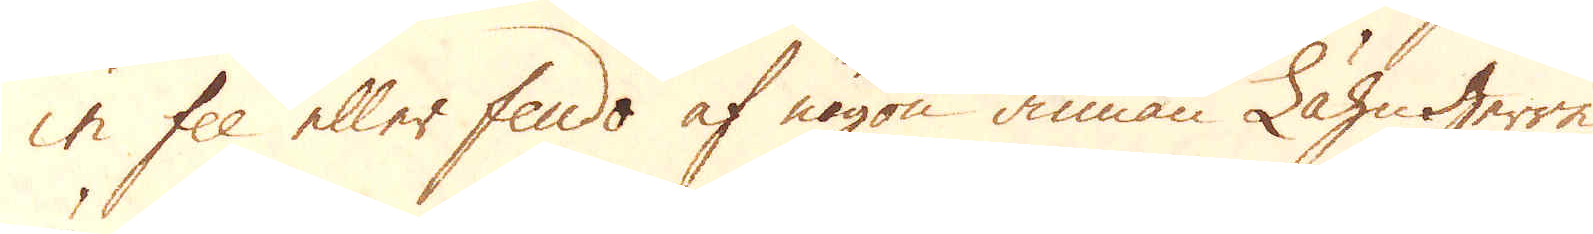in fee eller feudo af någon annan Lähnherre
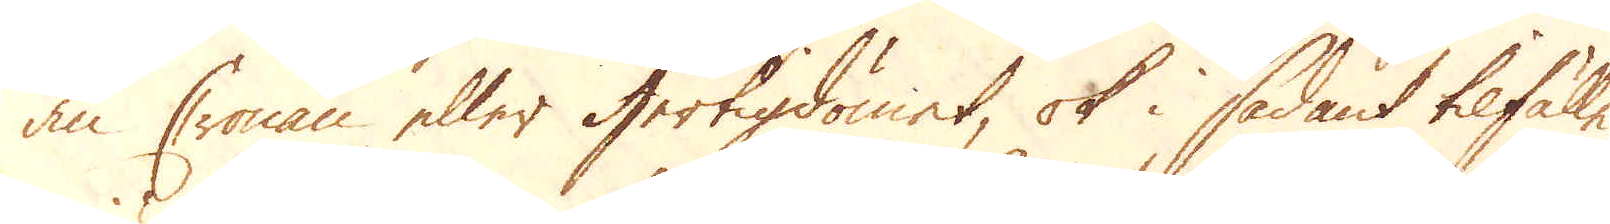än Cronan eller Hertigdömet, ok i sådant tilfälle
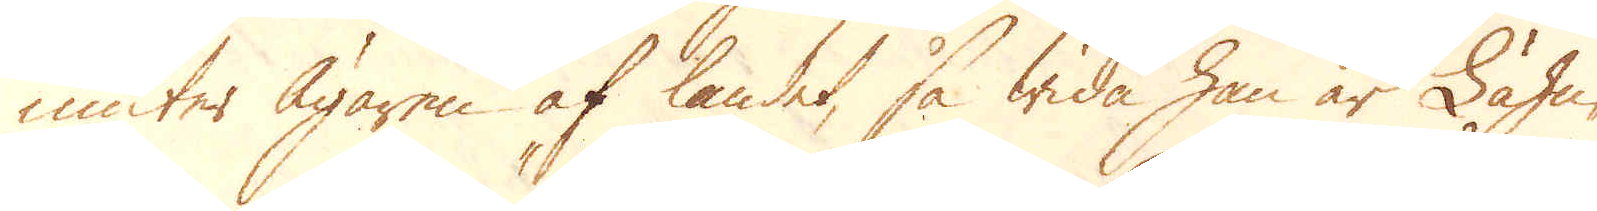niuter Ägaren af landet, så wida han är Lähn-
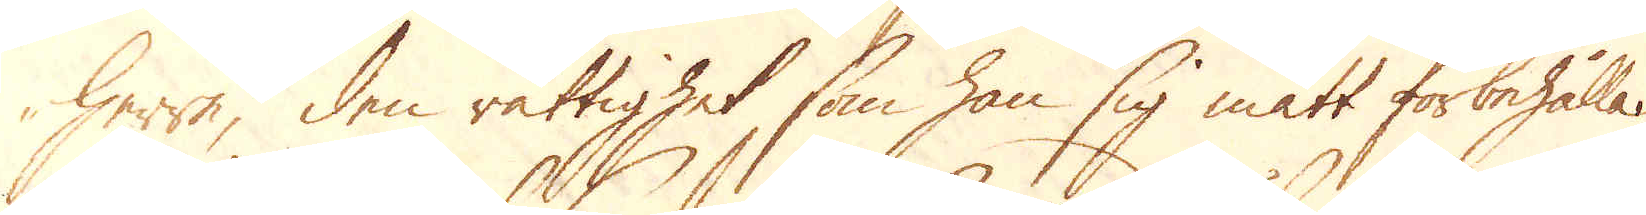herre, den rättighet som han sig mätt förbehålla.
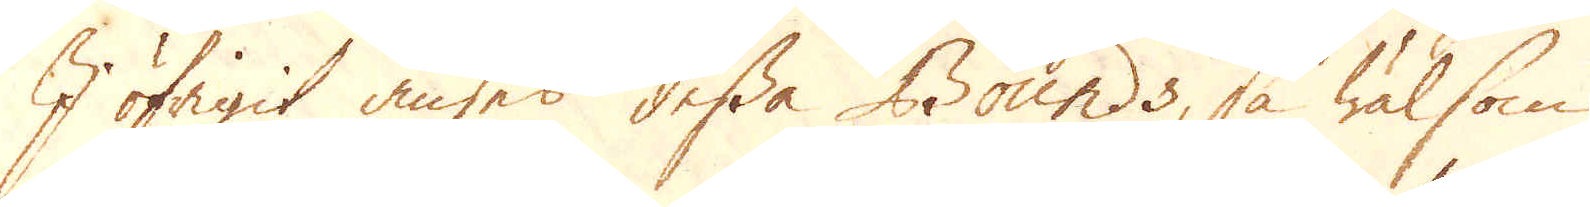I öfrigit anses dessa Bounds, så wäl som
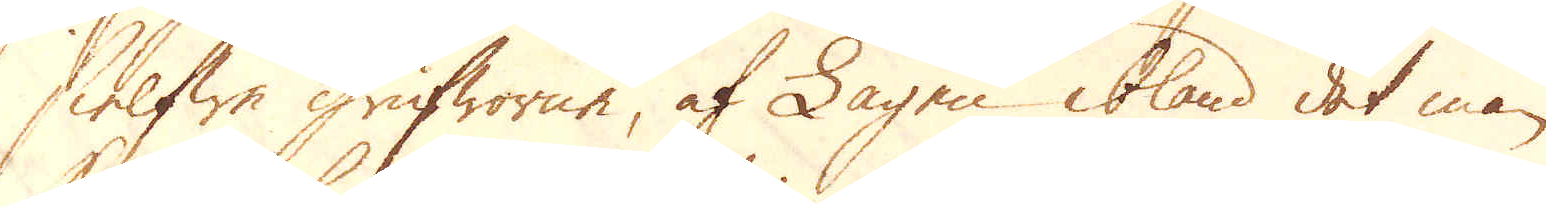sielfwe Grufworne, af Lagen ibland det man
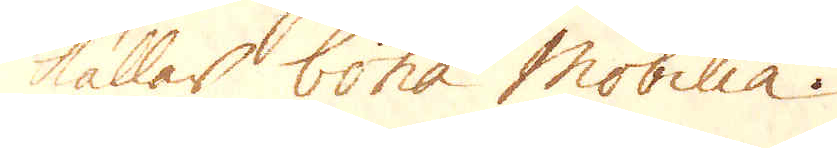kallar Cona Mobillia.
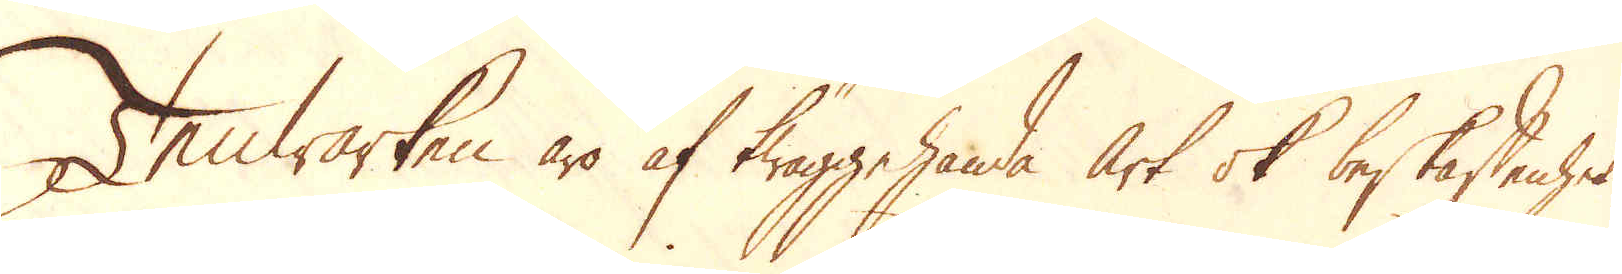Tenwärken äro af twäggehanda art ok beskaffenhet,
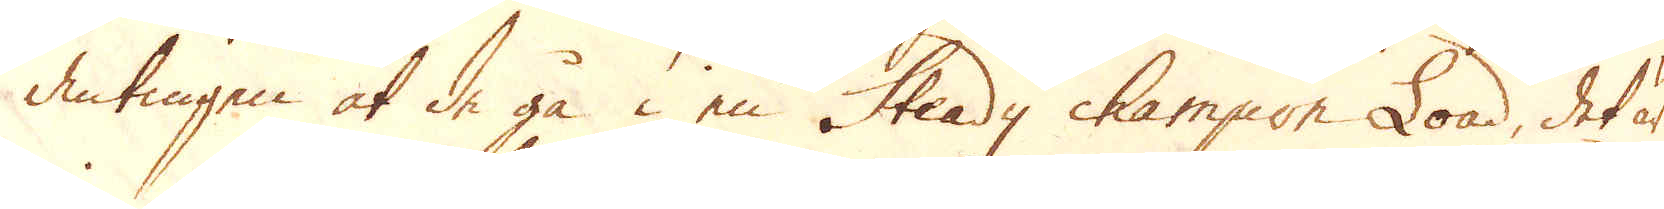antingen at de gå i en Steady champion Load, det är
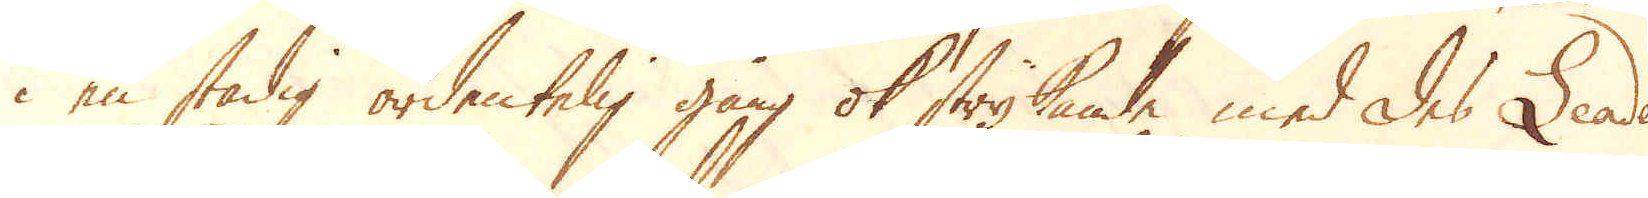i en stadig ordentelig gång ok strykande med des Leader
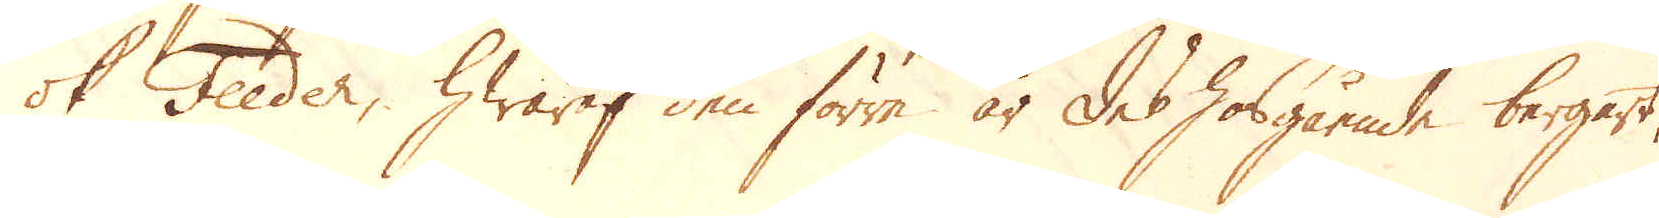ok Feeder, hwaraf den förre är des hosgående bergart,
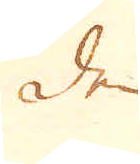den
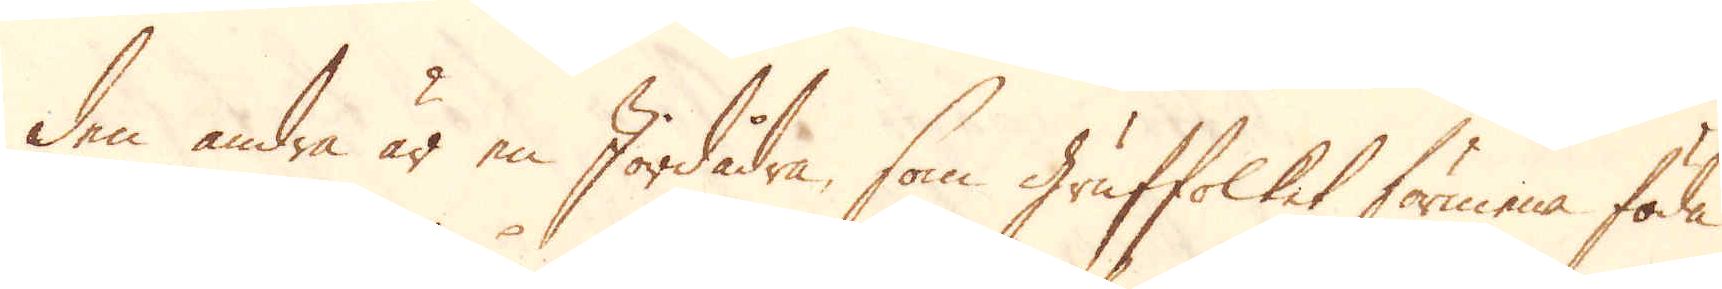den andra är en Jordådra, som Gruffolket förmena föda
